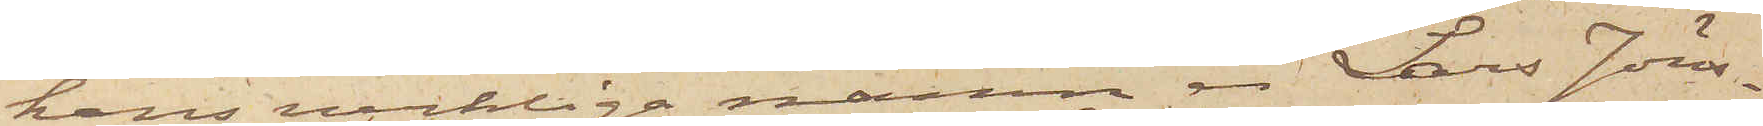hans verkliga namn är Lars Jöns¬
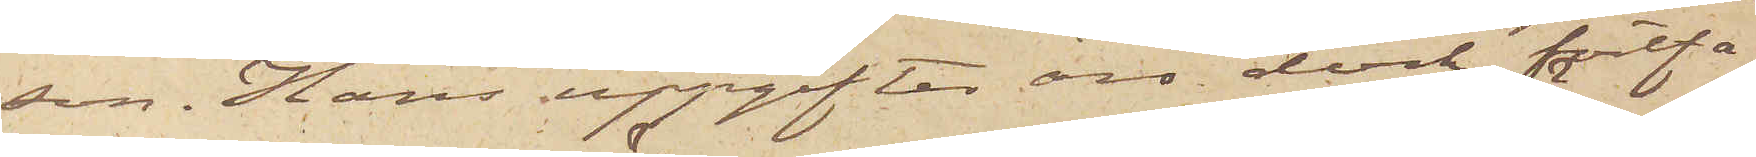son. Hans uppgifter äro dock fortfa¬
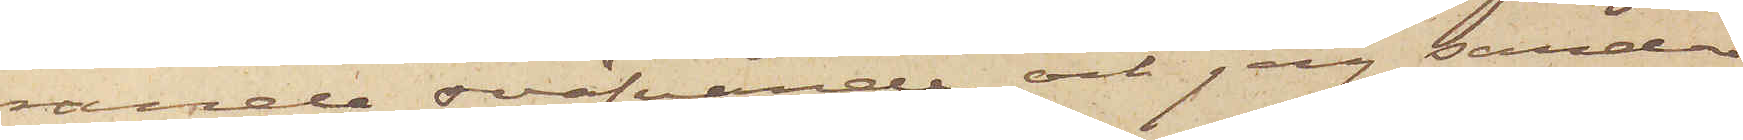rande sväfvande och jag sänder
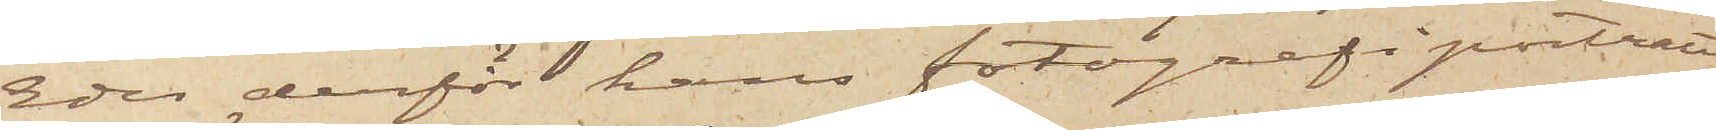Eder derför hans fotografiporträtt
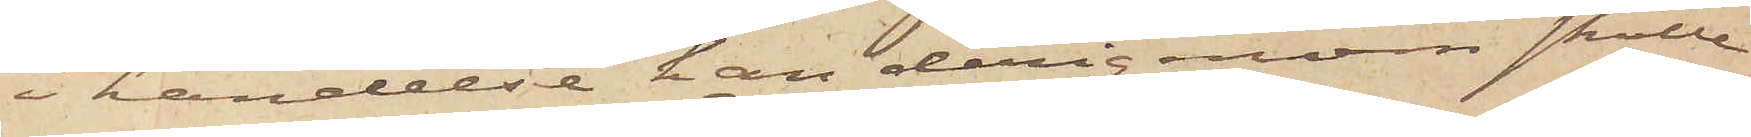i händelse han derigenom skulle
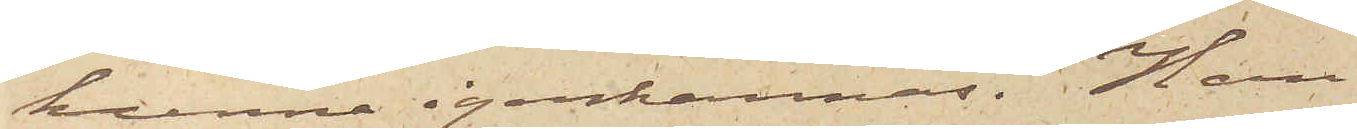kunna igenkännas. Han
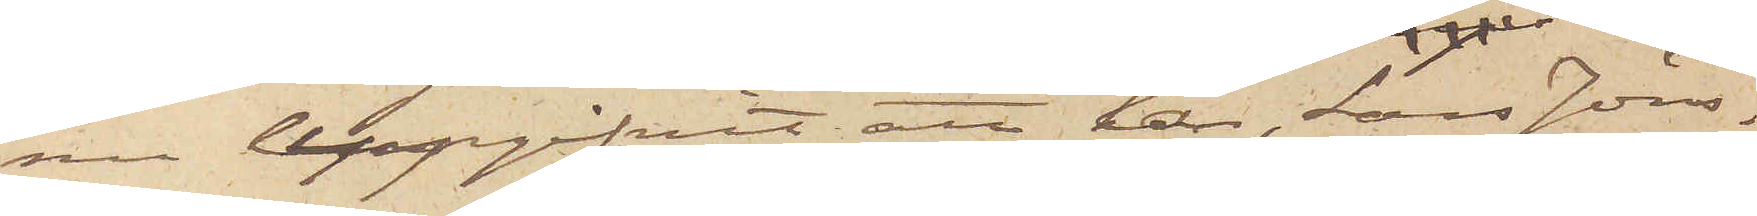nu uppgifvit, att han, Lars Jöns¬
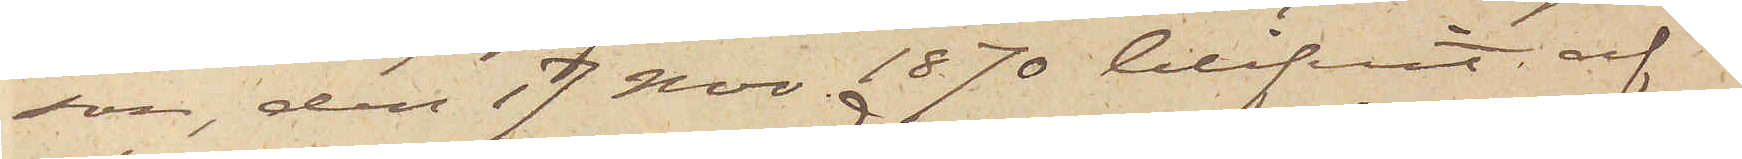son, den 17 Nov. 1870 blifvit af
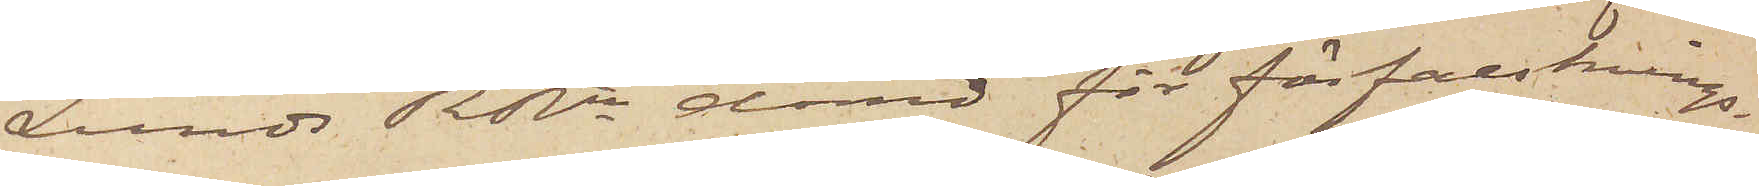Lunds RRtt dömd för förfalsknings¬
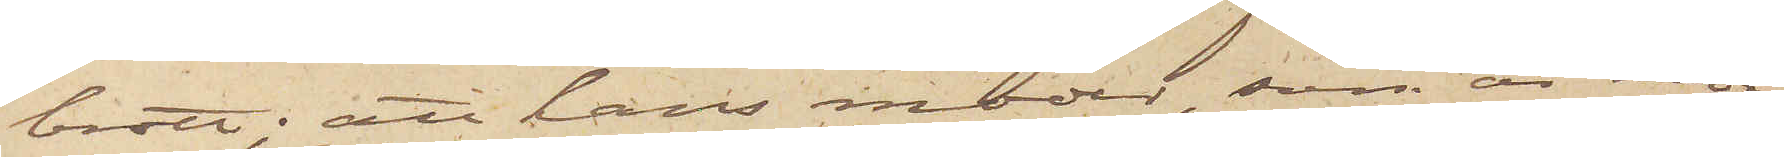brott; att hans moder, som är mor¬
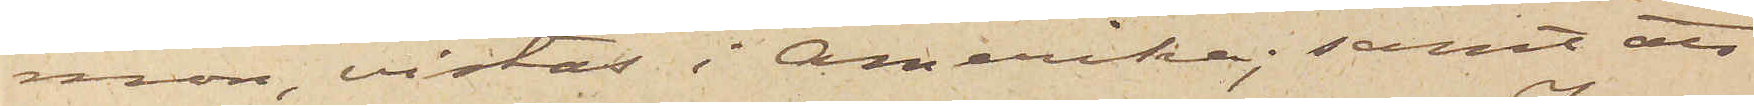mon, vistas i Amerika; samt att
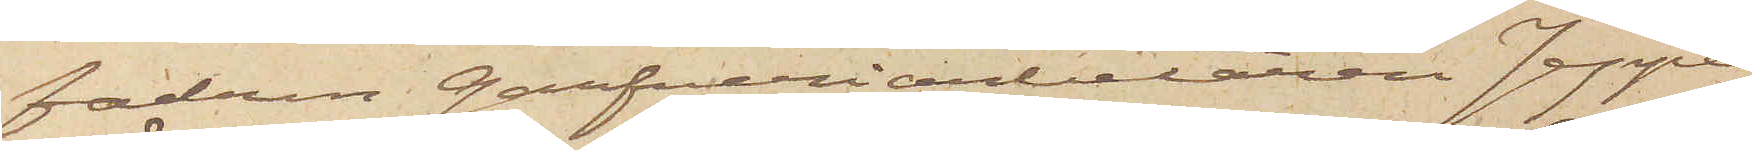fadren Garfveriarbetaren Jeppe
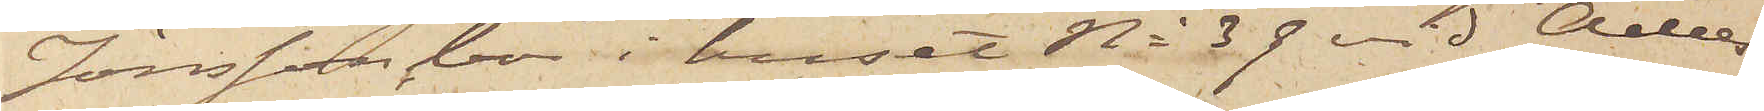Jönsson, bor i huset No 39 vid Adels¬
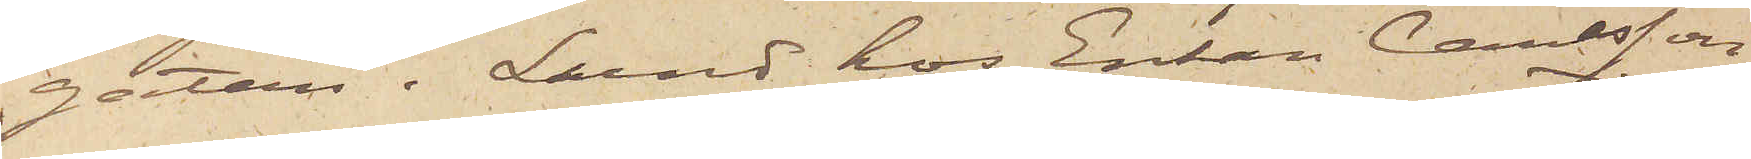gatan i Lund hos Enkan Carlsson
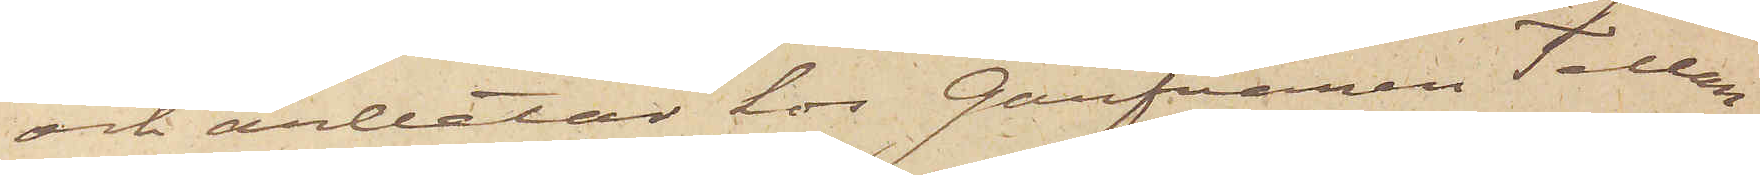och arbetar hos Garfvaren Tellan¬
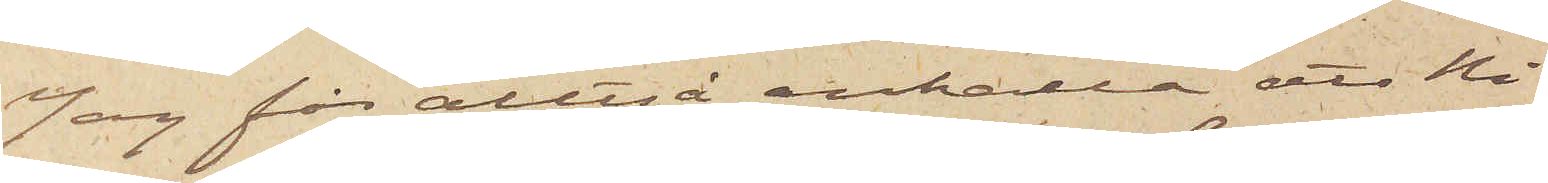Jag får alltså anhålla att Ni
